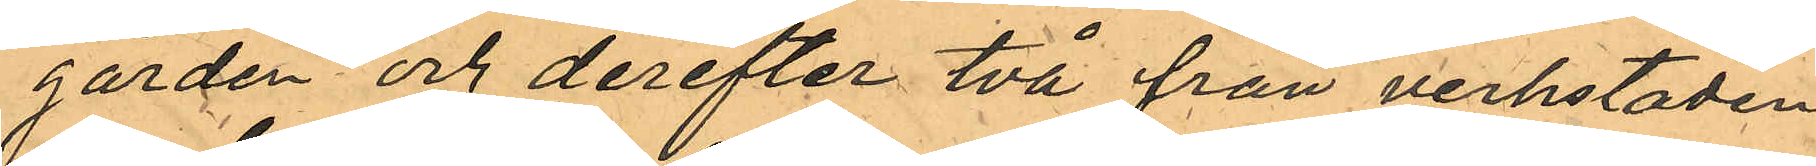gården och derefter två från verkstaden
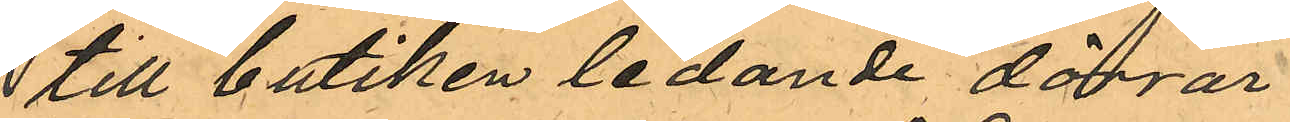till butiken ledande dörrar.
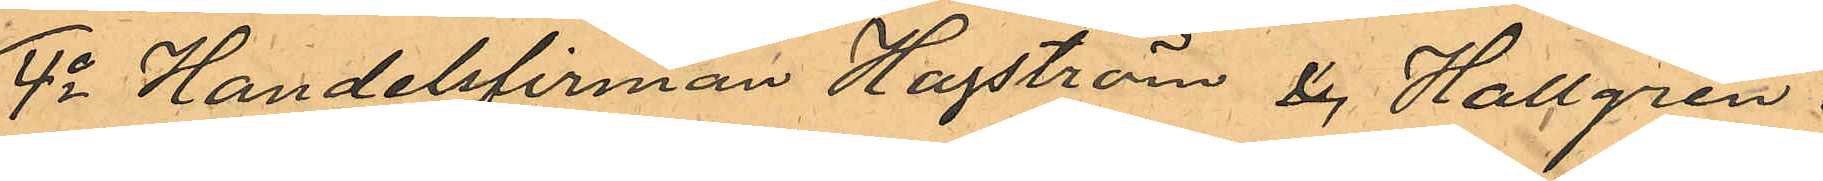4o Handelsfirman Hagström och Hallgren i
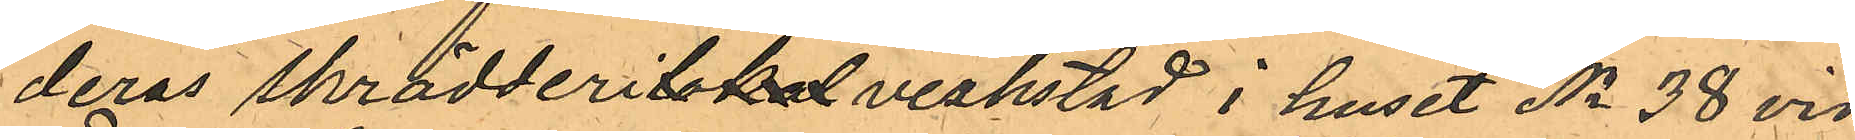deras skrädderilokalverkstad i huset No 38 vid
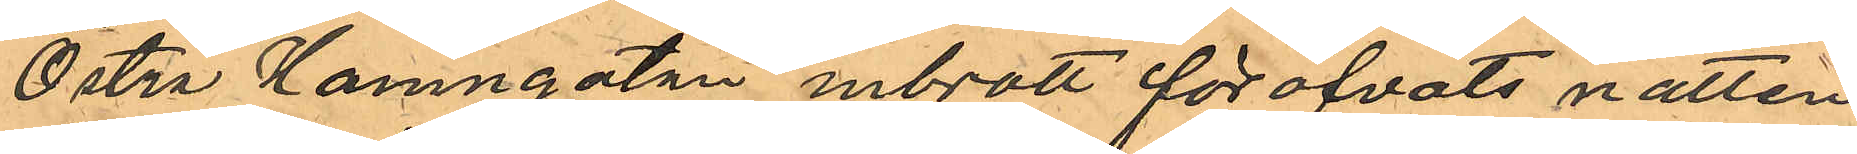Östra Hamngatan inbrott föröfvats natten
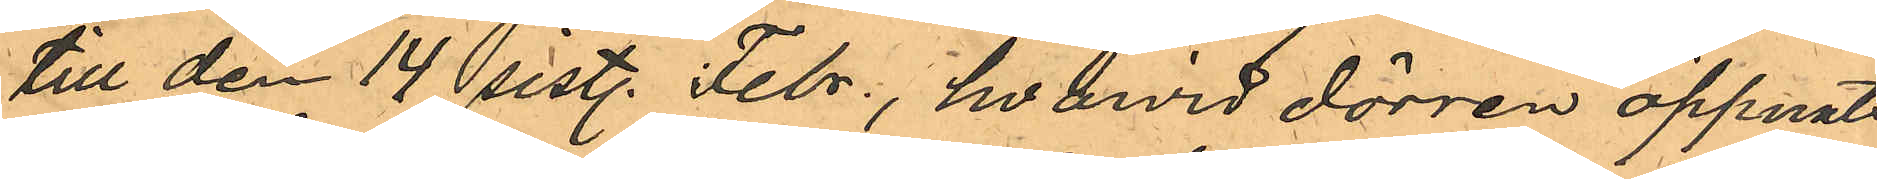till den 14 sistl. Febr., hvarvid dörren öppnats
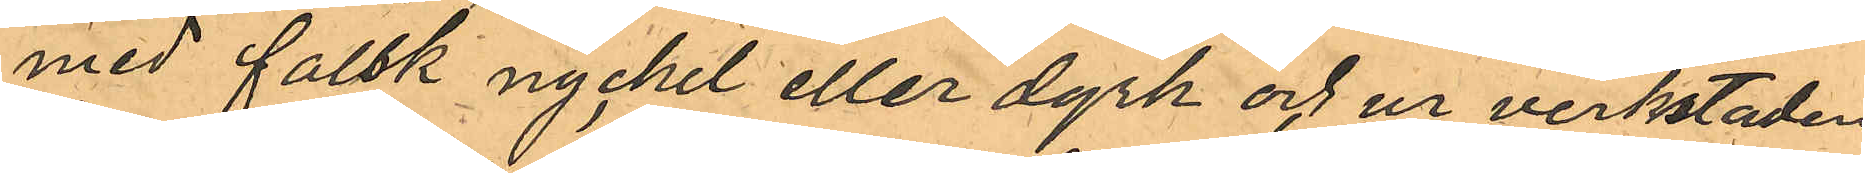med falsk nyckel eller dyrk och ur verkstaden
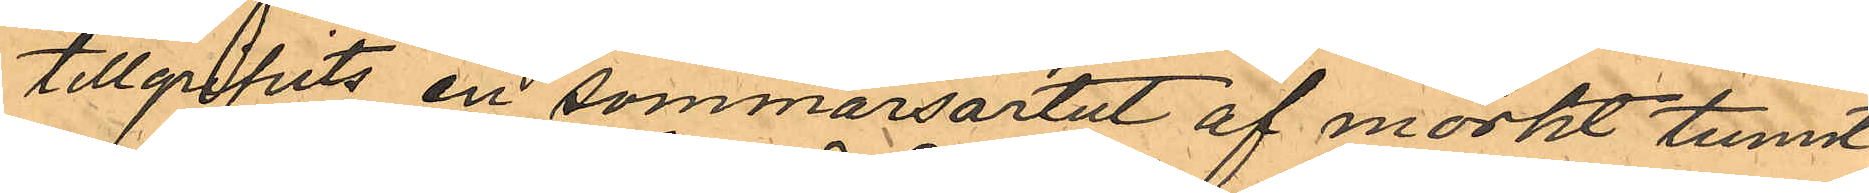tillgripits en sommarsartut af mörkt tunnt
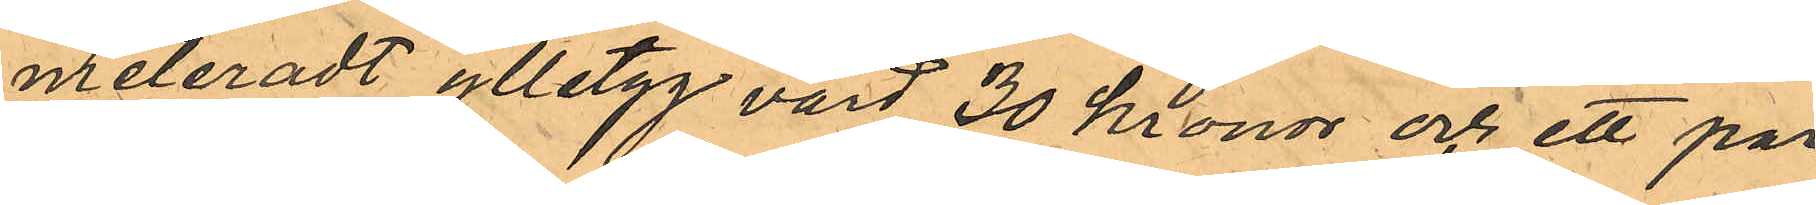meleradt ylletyg värd 30 kronor och ett par
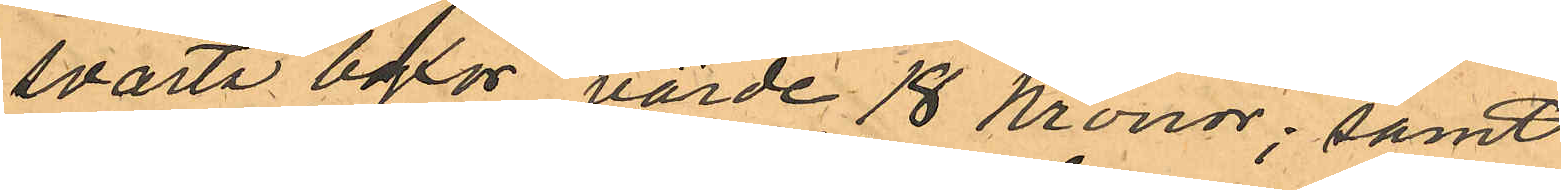svarta byxor värde 18 kronor; samt
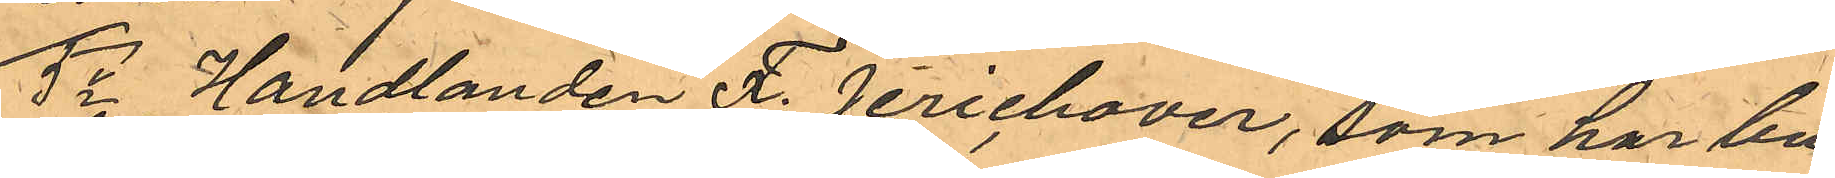5o Handlanden F. Jerichover, som har bu¬
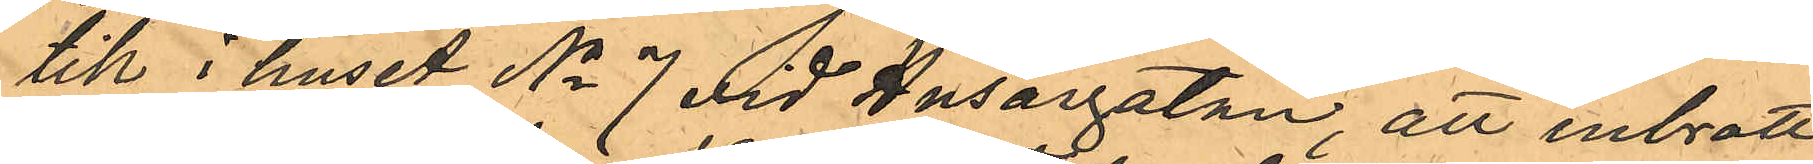tik i huset No 7 vid Husargatan, att inbrott
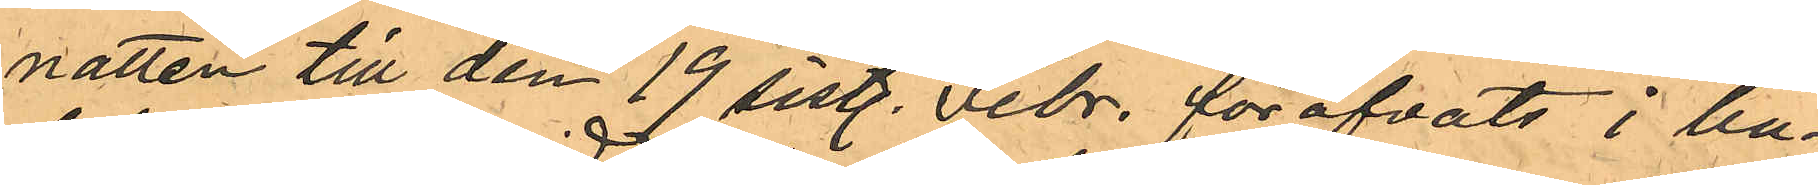natten till den 19 sistl. Febr. föröfvats i bu¬
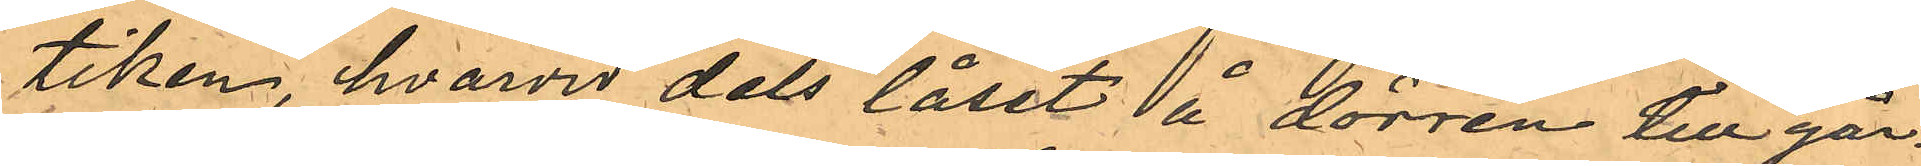tiken, hvarvid dels låset å dörren till går¬
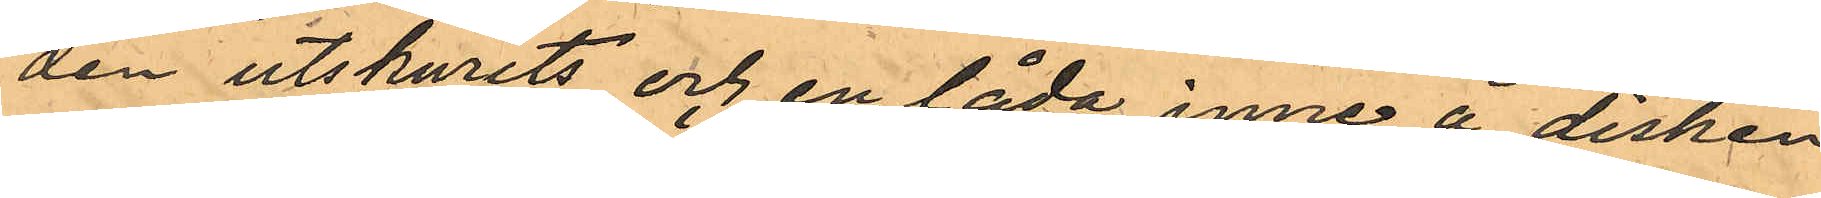den utskurits och en låda inne å disken
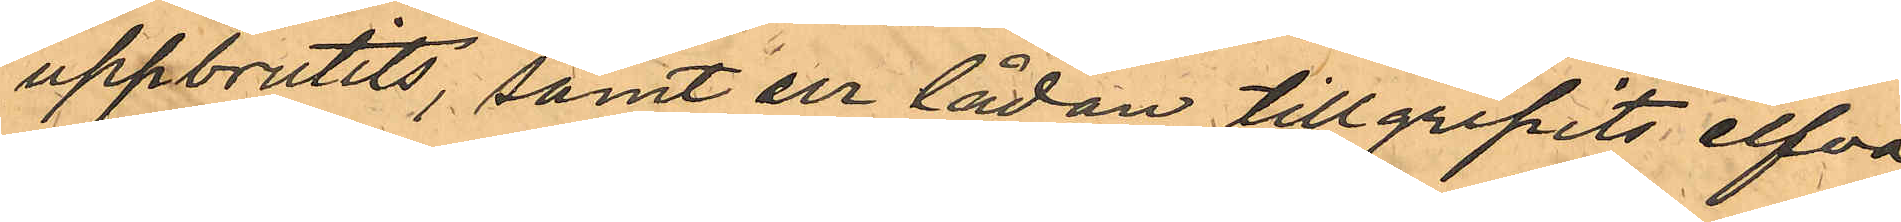uppbrutits, samt ur lådan tillgripits elfva
